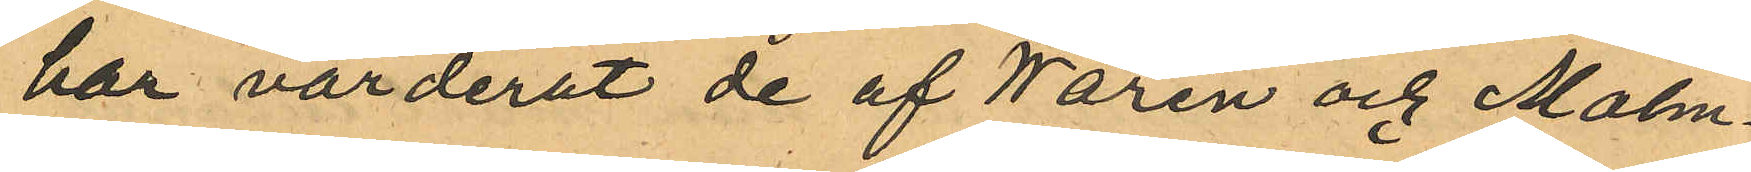har värderat de af Warén och Malm¬
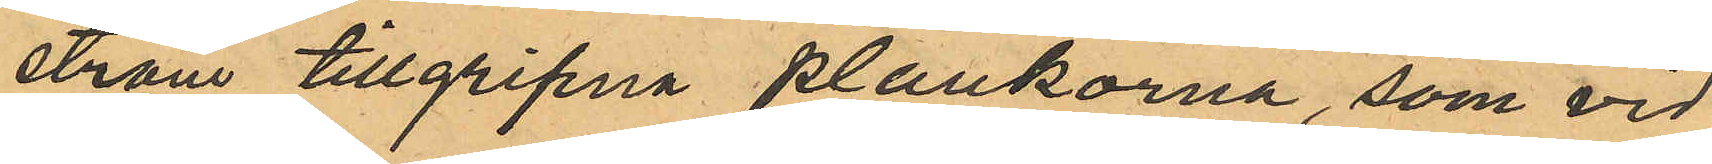ström tillgripna plankorna, som vid
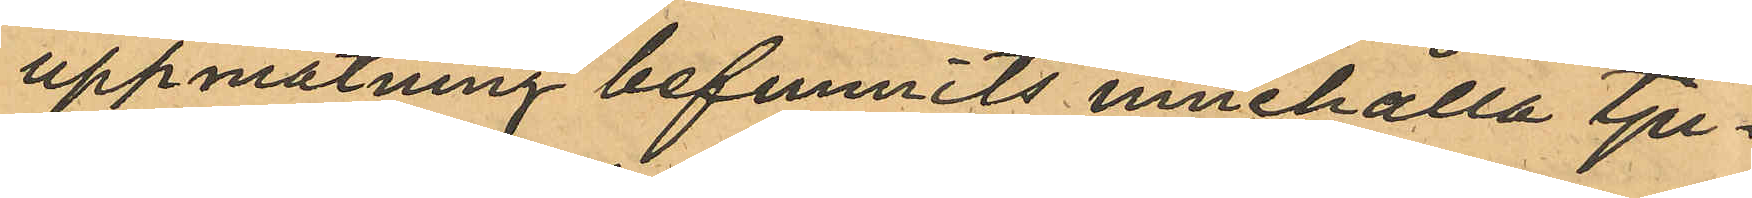uppmätning befunnits innehålla tju¬
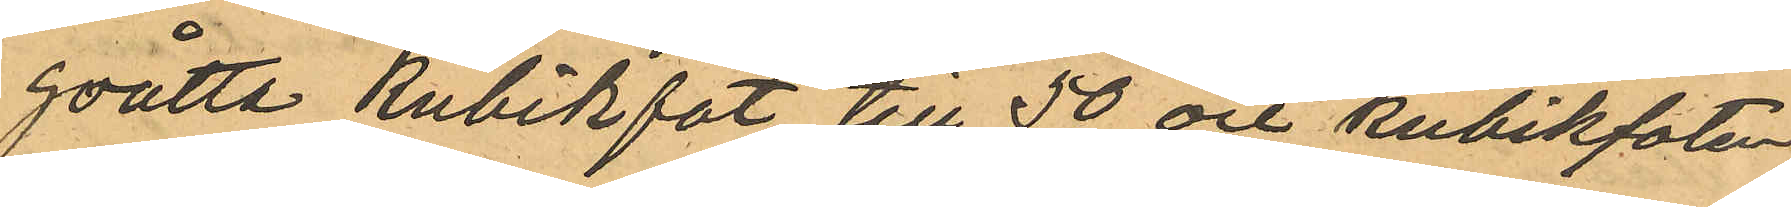goåtta kubikfot till 50 öre kubikfoten
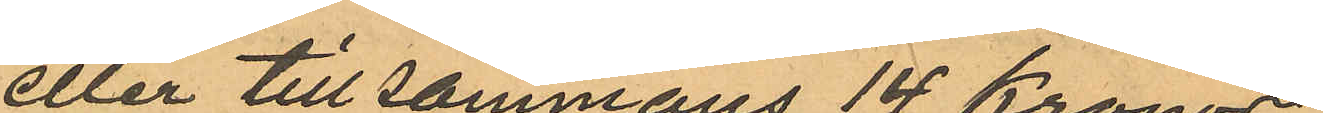eller tillsammans 14 Kronor
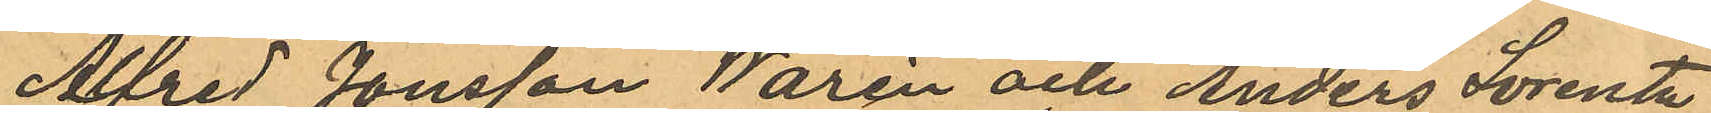Alfred Jonsson Warén och Anders Lorentz
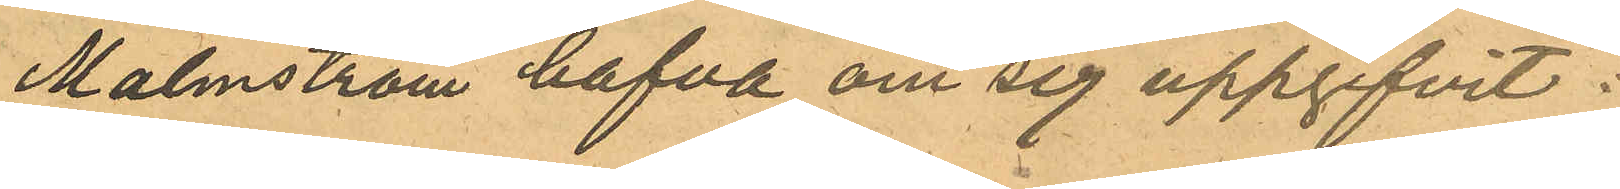Malmström hafva om sig uppgifvit:
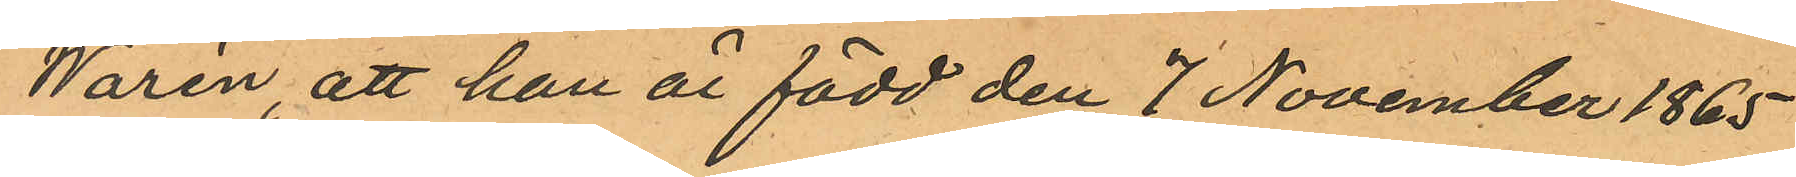Warén, att han är född den 7 November 1865
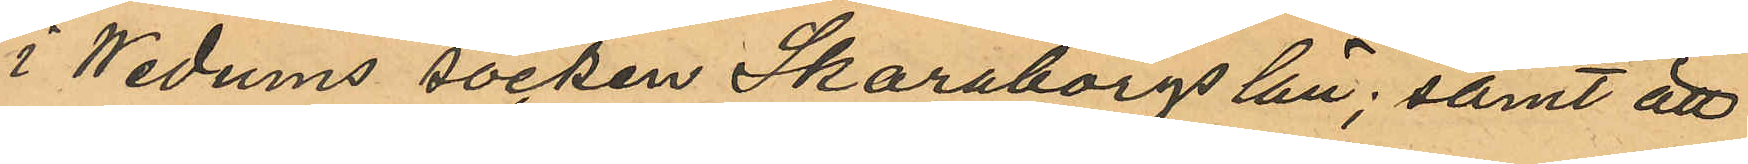i Wedums socken Skaraborgs län; samt att
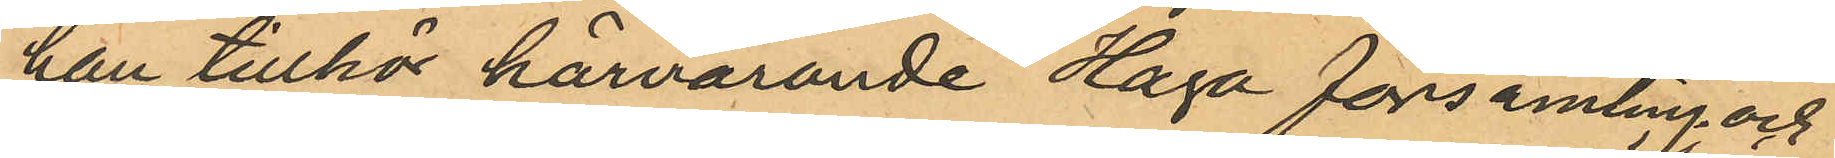han tillhör härvarande Haga församling; och
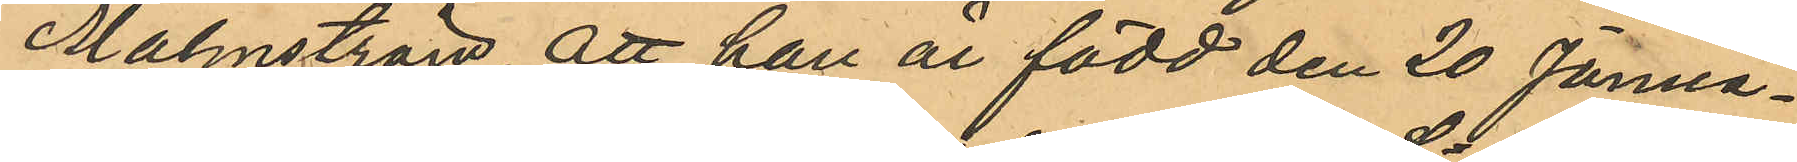Malmström, att han är född den 20 Janua¬
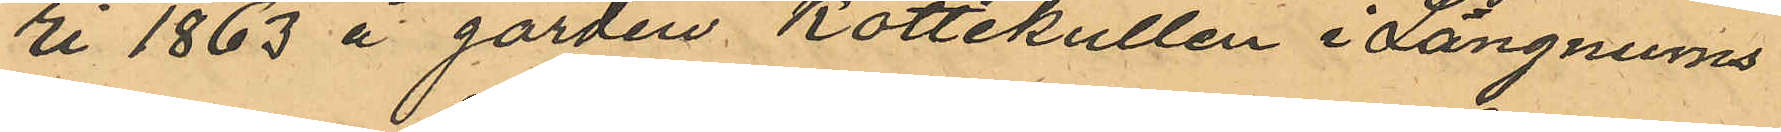ri 1863 å gården Kottekullen i Längnums
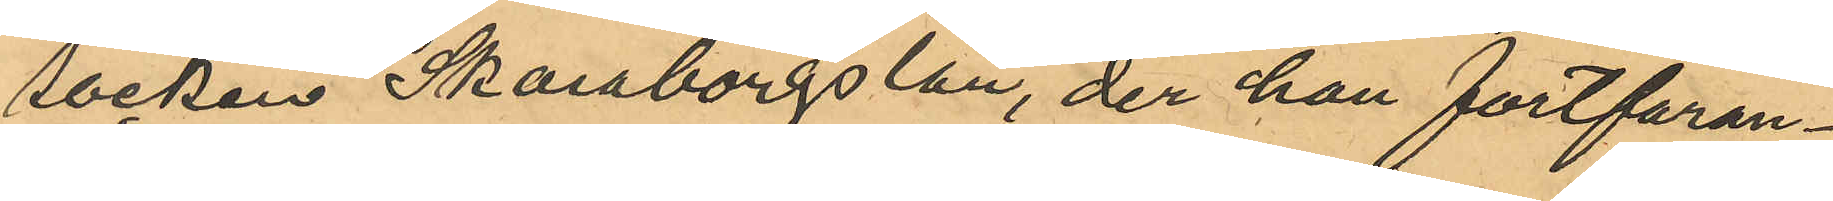socken Skaraborgs län, der han fortfaran¬
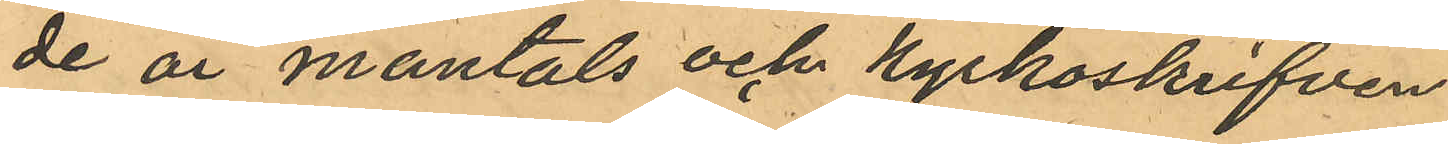de är mantals och kyrkoskrifven
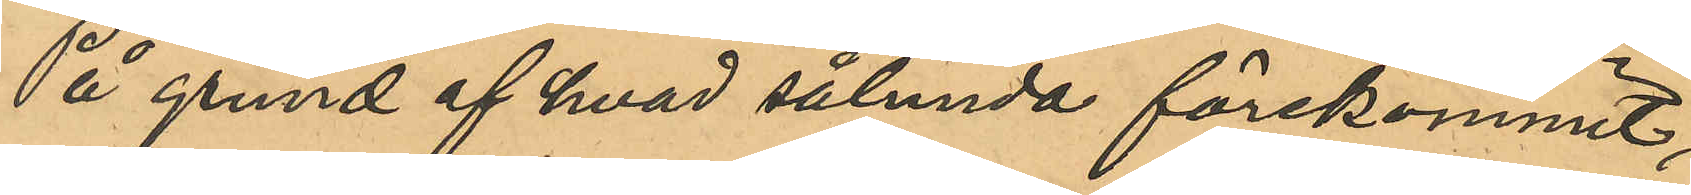På grund af hvad sålunda förekommit,
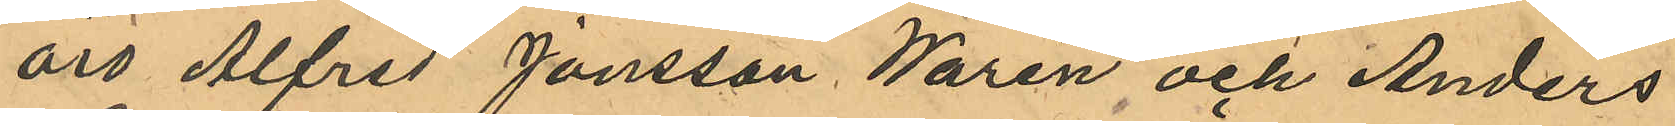äro Alfred Jonsson Warén och Anders
